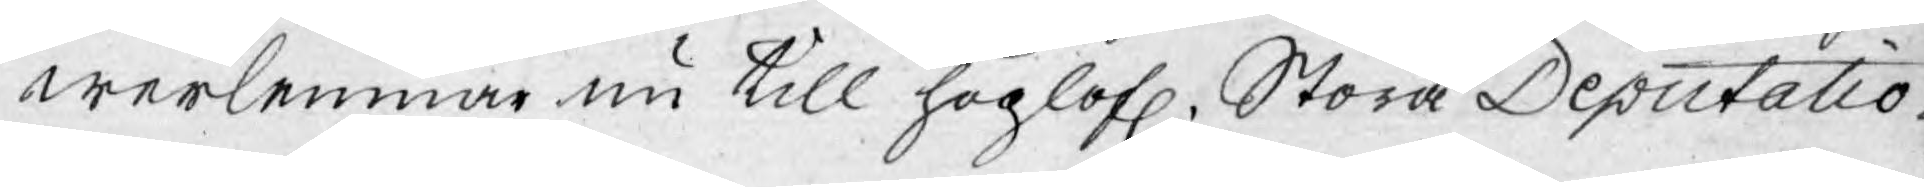werlemnar nu till höglofl. Stora Deputatio¬
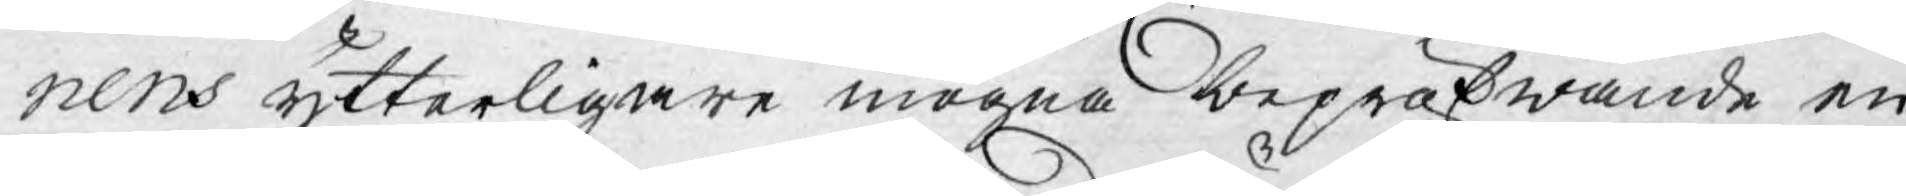nens ytterligare mogna bepröfwande en
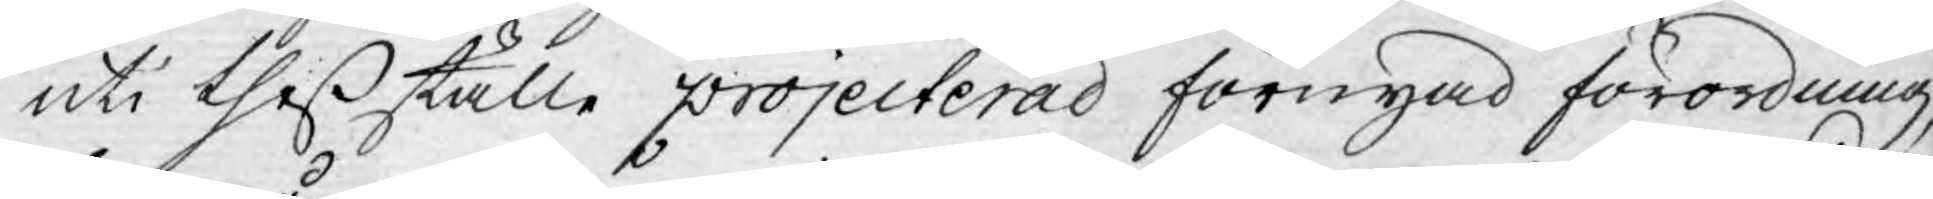uti theß ställe projecterad förnyad förordning,
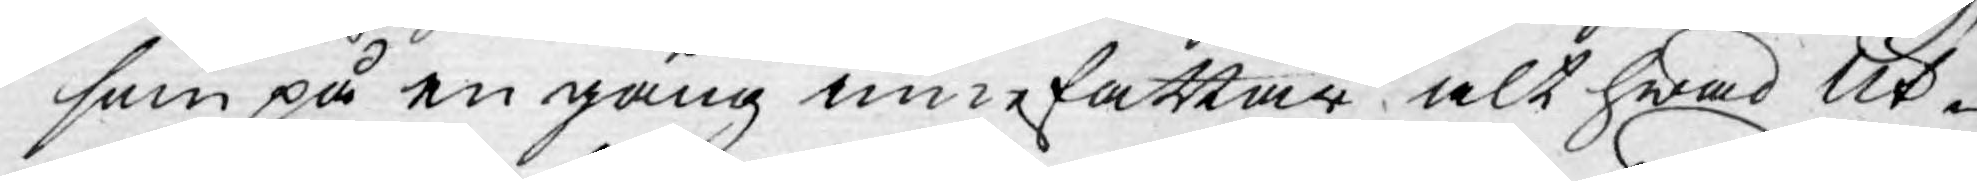som på en gång innefattar alt hwad Ut¬
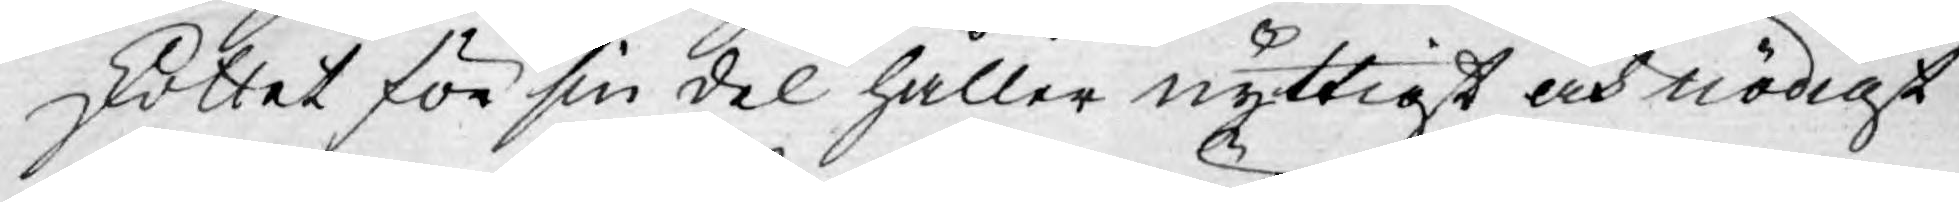skottet för sin del håller nyttigt och nödigt
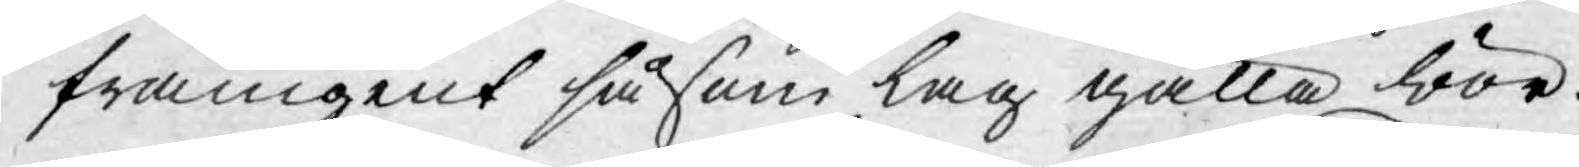framgent såsom lag gälla bör.
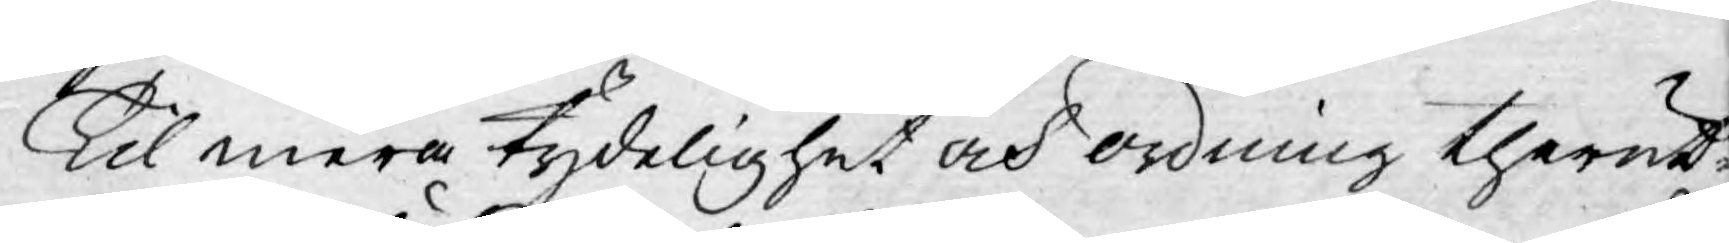Til mera tydelighet och ordning therut¬
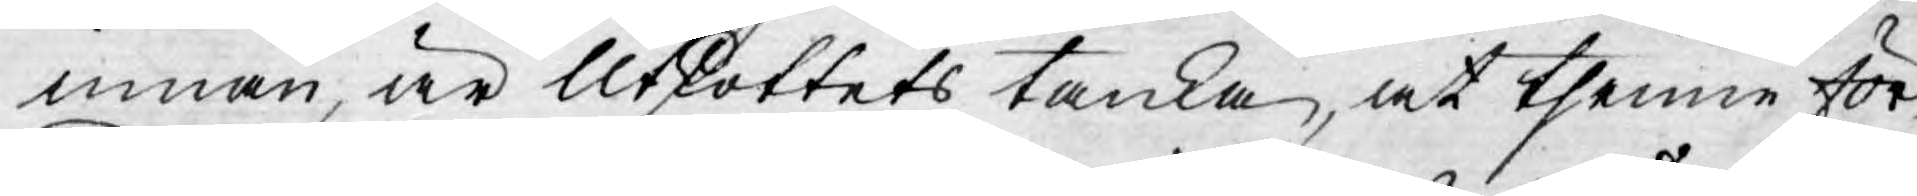innan, är Utkottets tanka, at thenne för¬
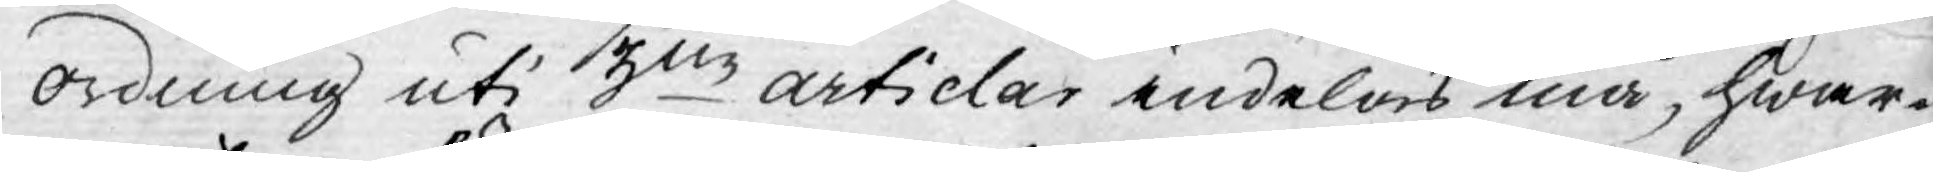ordning uti 3ne articlar indelas må, hwar¬
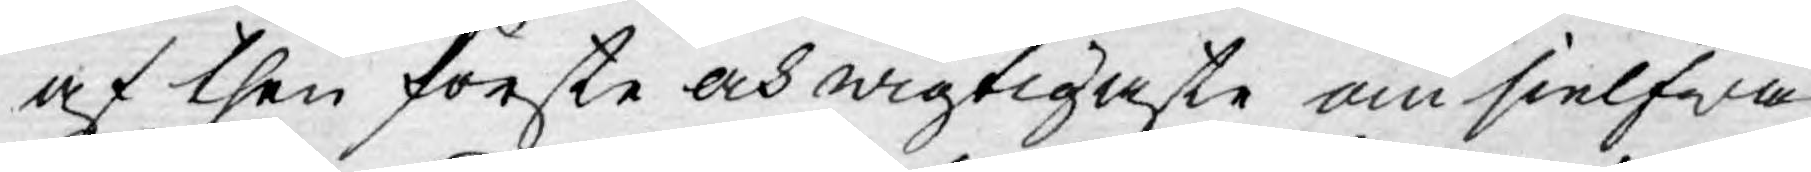af then förste och wigtigaste om sielfwa
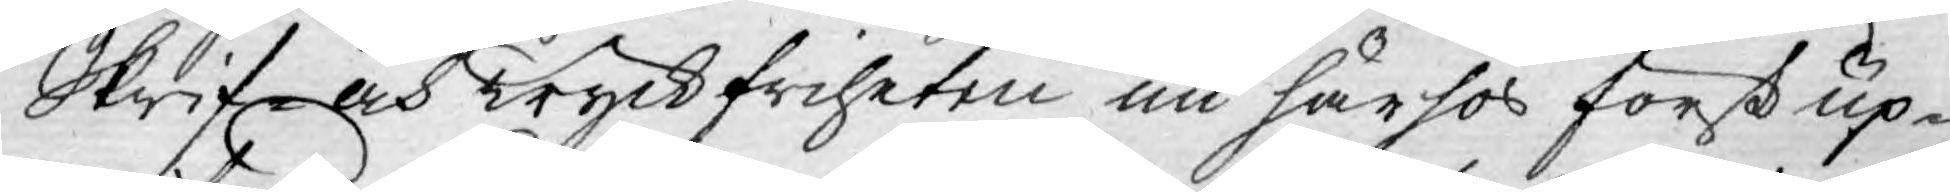Skrif- och Tryckfriheten nu härhos först up¬
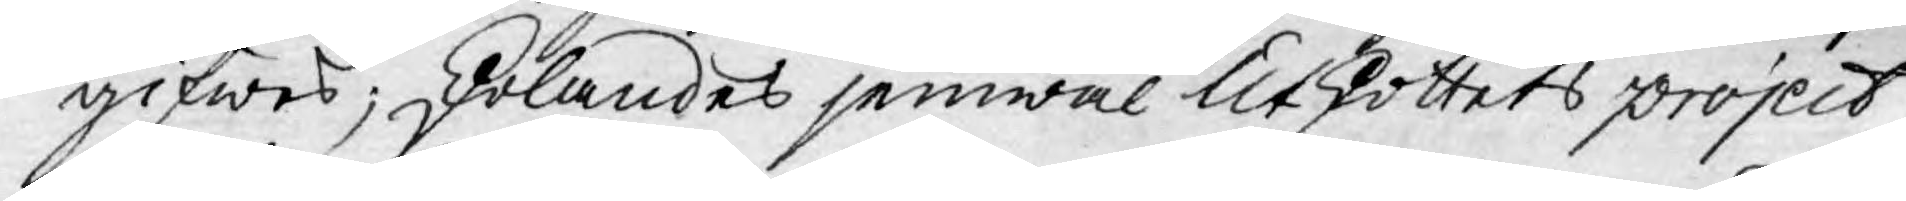gifwes; skolandes jemwäl Utskottets project
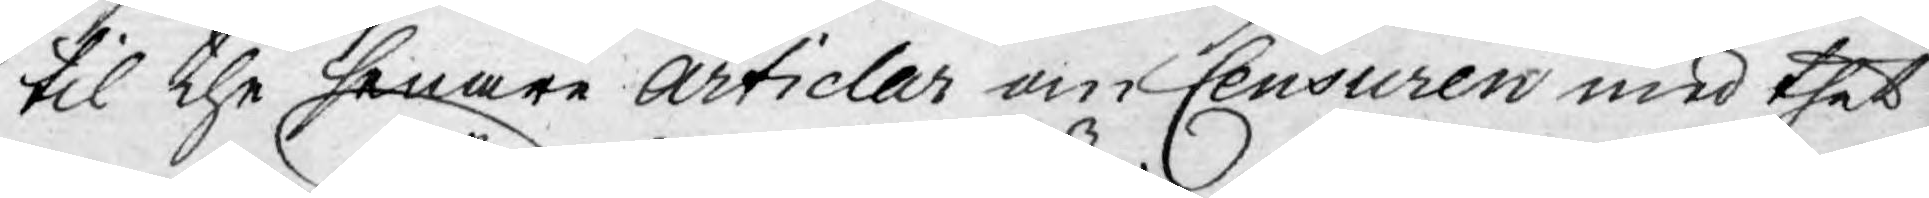til the senare Articlar om Censuren med thet
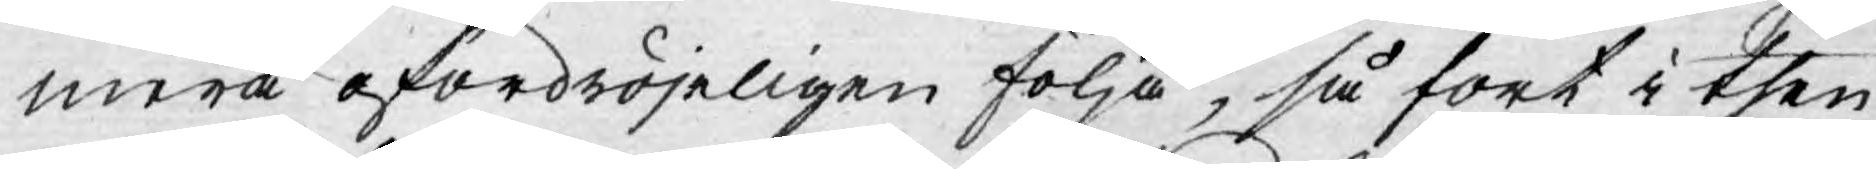mera ofördröjeligen följa, så fort i then¬
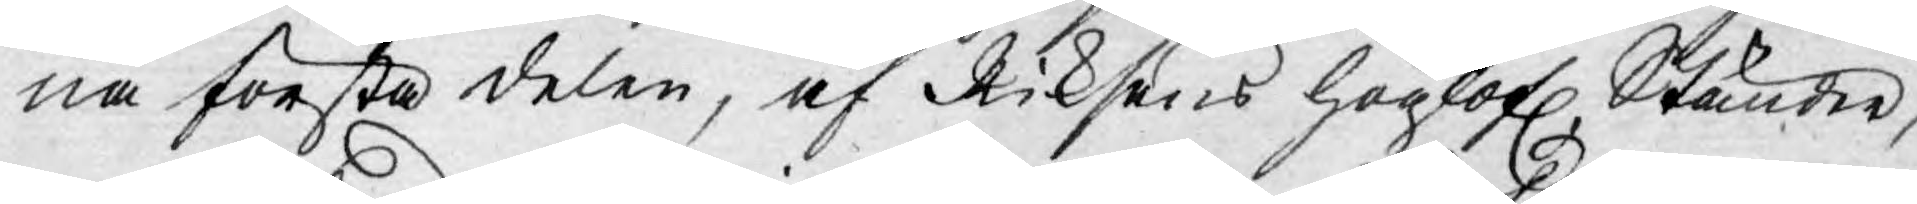na första delen, af Riksens höglofl. Ständer,
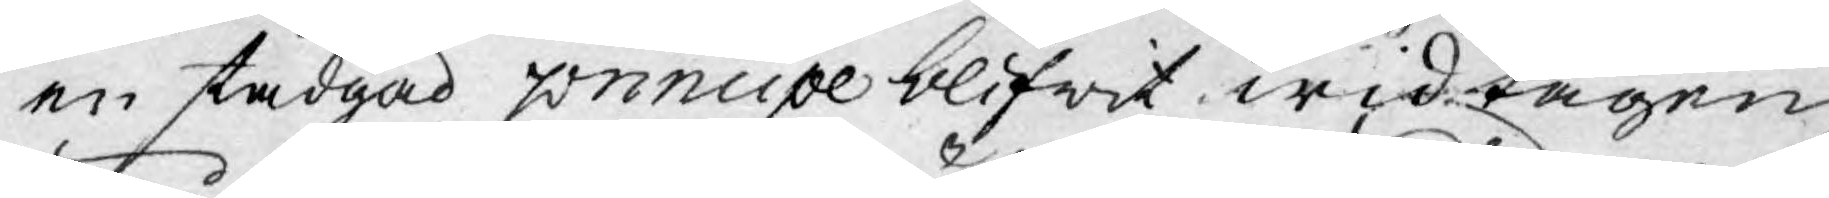en stadgad principe blifwit widtagen
